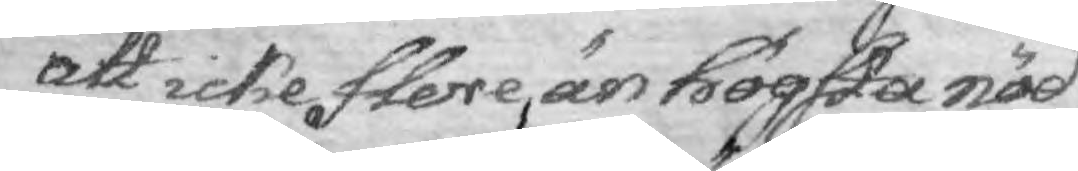att icke ftere, än högsta nöd
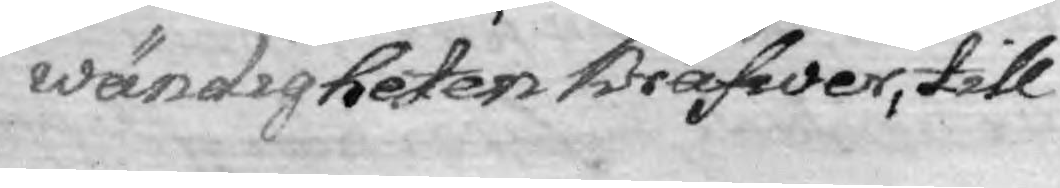wändigheten Kräfwer, till
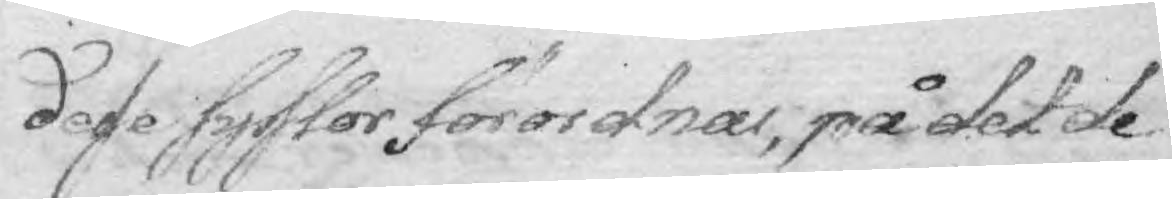dese sysslor förordnas, på det de
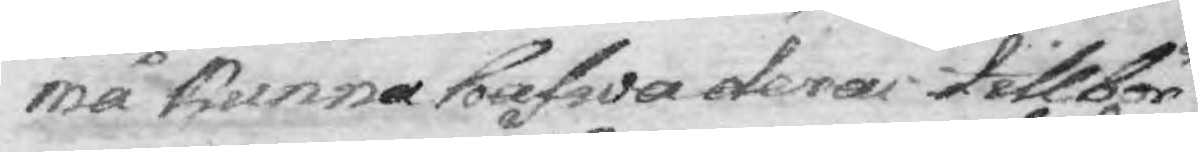må kunna hafwa deras tillbör¬
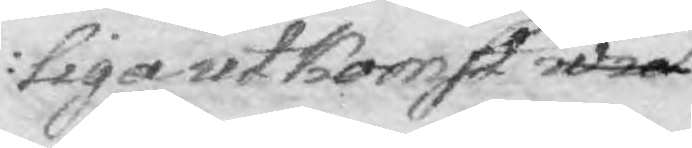liga utkomst wid
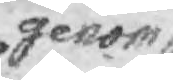genom
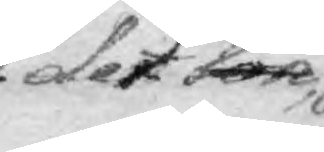det lön
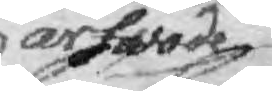arfwode
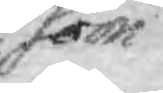som
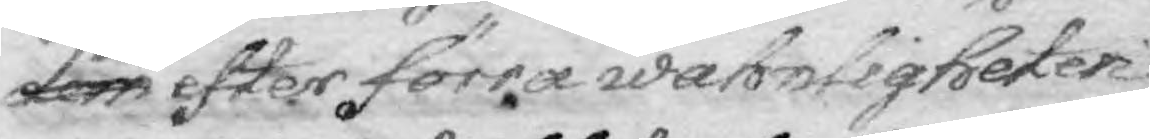dem efter förra wahnligheter
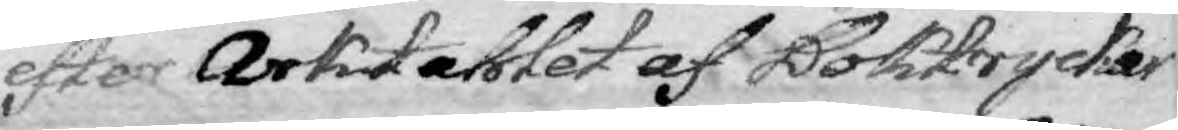efter Arktahlet af Boktrycker¬
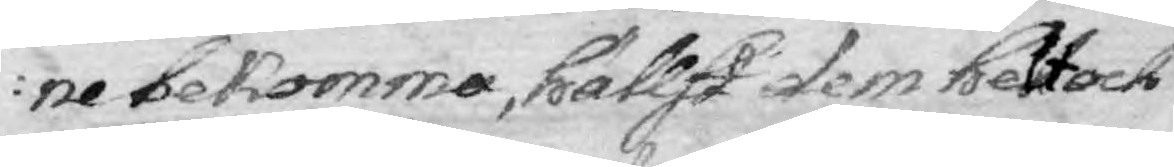ne bekomma, hällst dem helt och
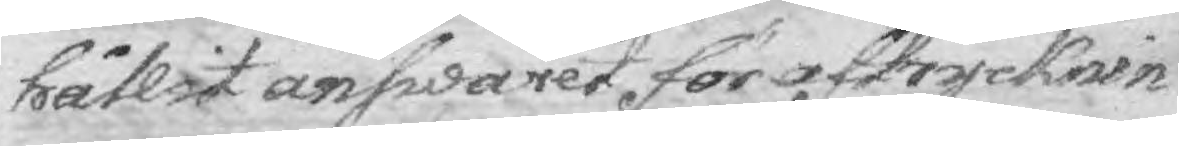hållit answaret för aftrycknin¬
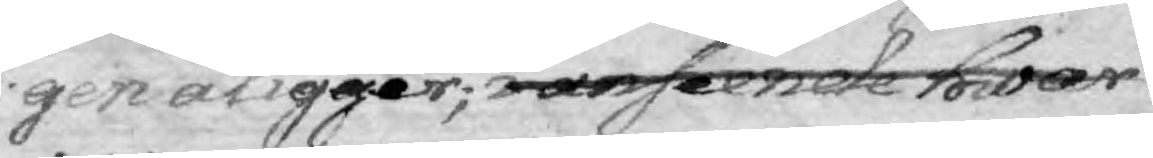gen åligger; i anséende hwar
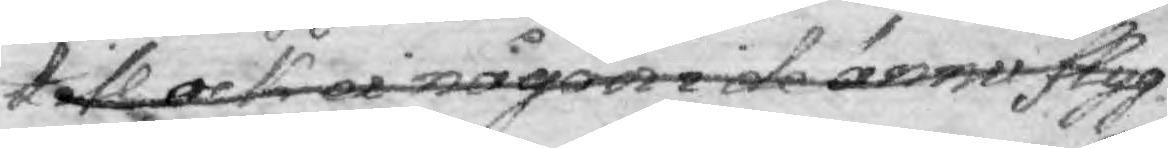till oh ei någon i de ännu flyg¬
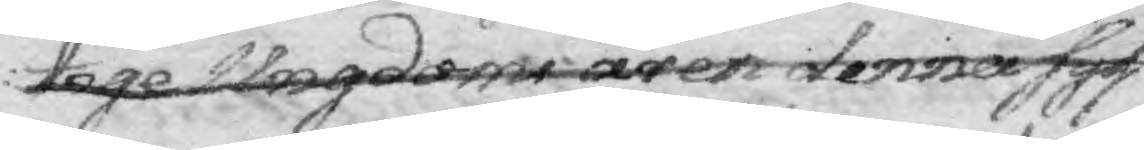tige Ungdoms åren denna syss¬
